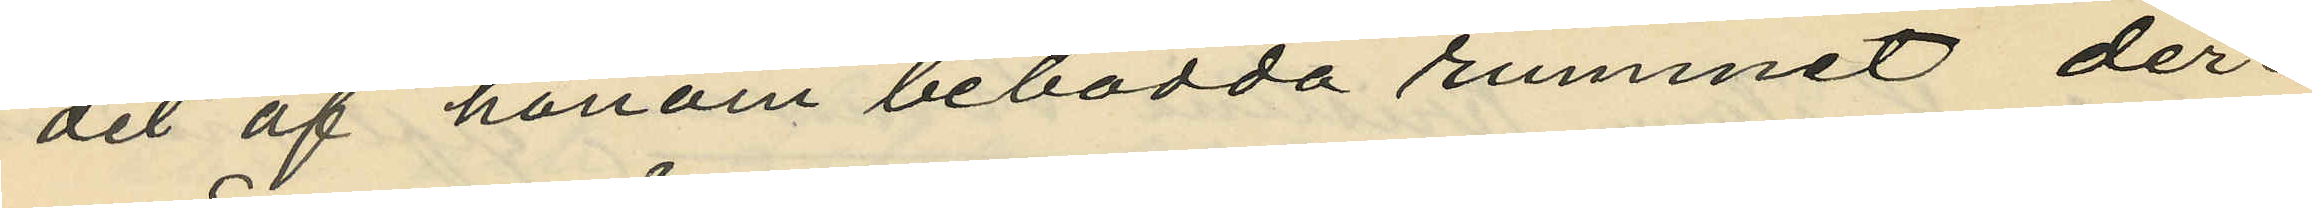det af honom bebodda rummet der¬
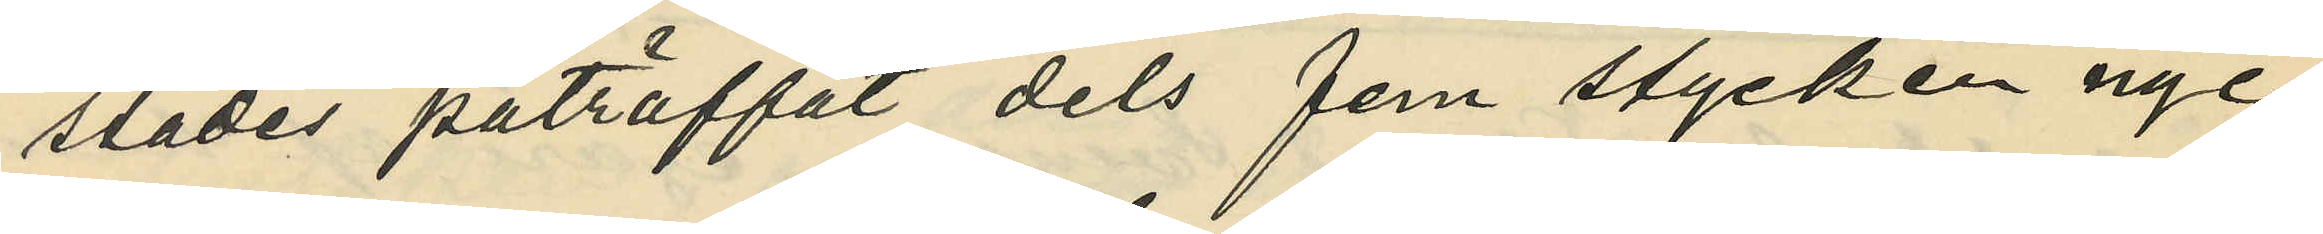städes påträffat dels fem stycken nyc¬
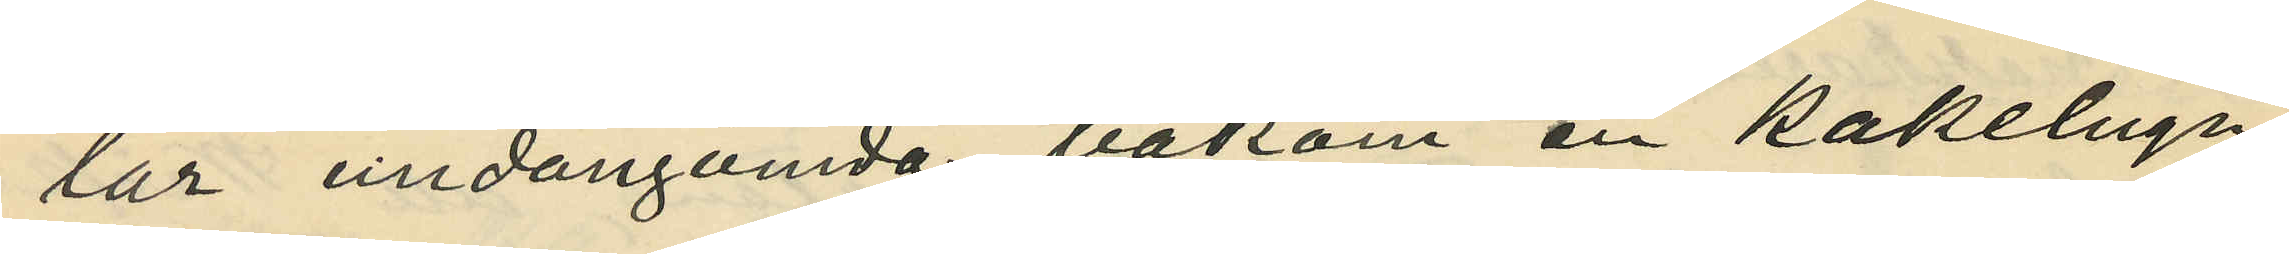lar undangömda bakom en kakelugn
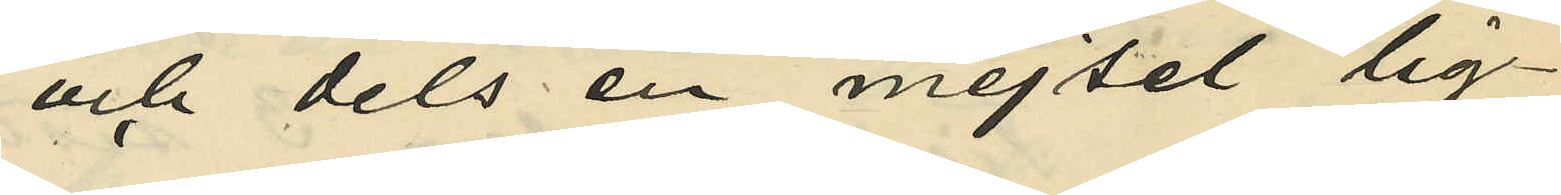och dels en mejsel lig¬
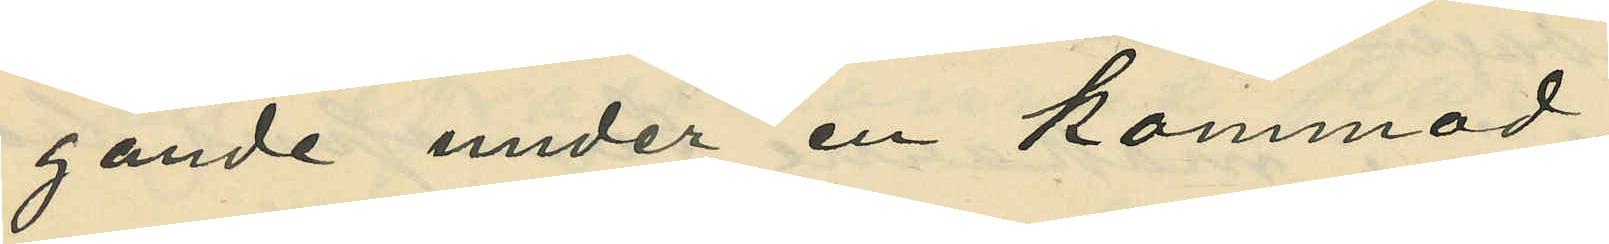gande under en kommod;
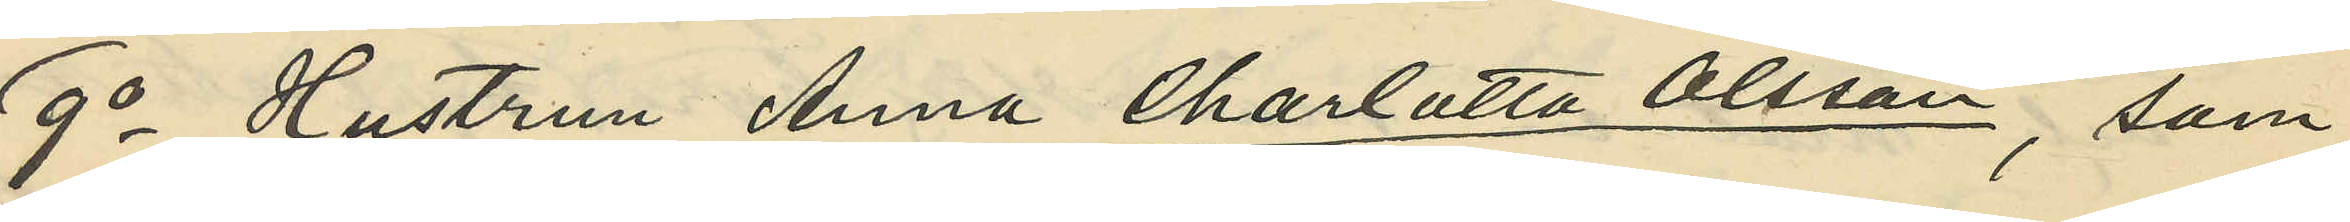9o Hustrun Anna Charlotta Olsson, som
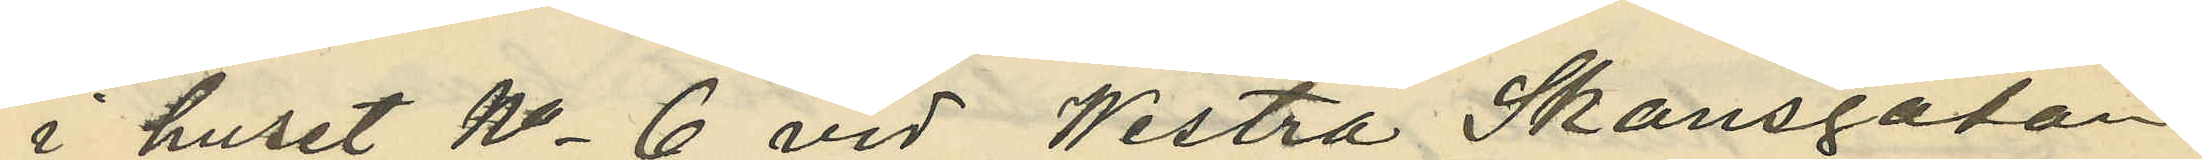i huset No 6 vid Westra Skansgatan
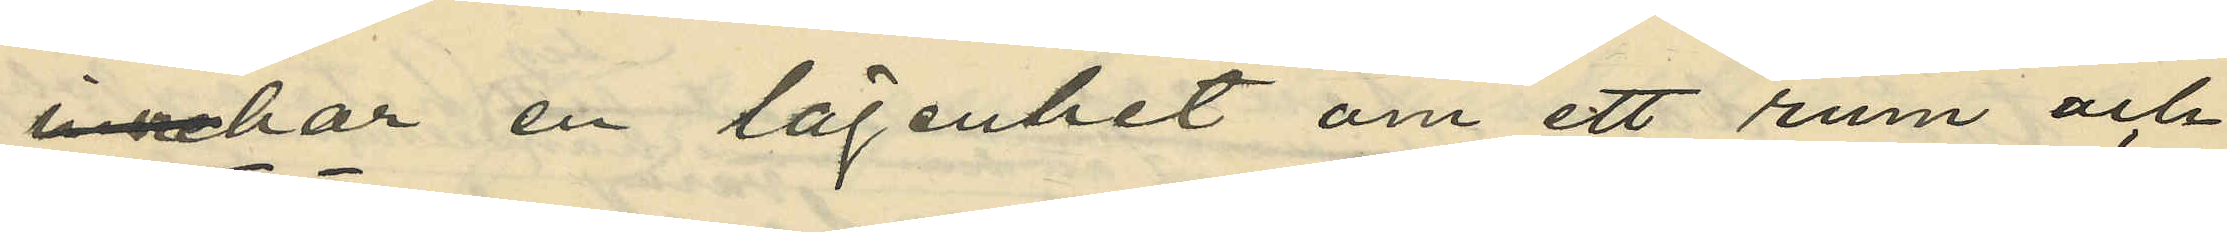har en lägenhet om ett rum och
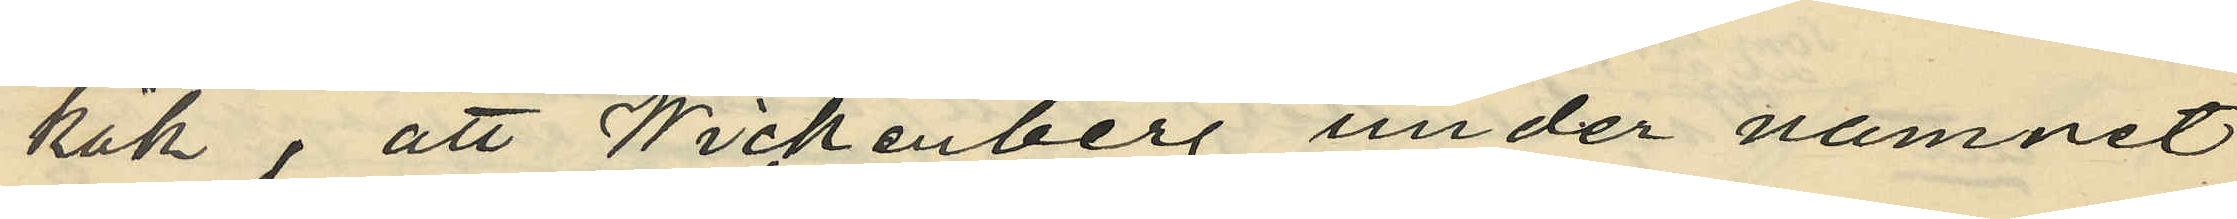kök, att Wickenberg under namnet
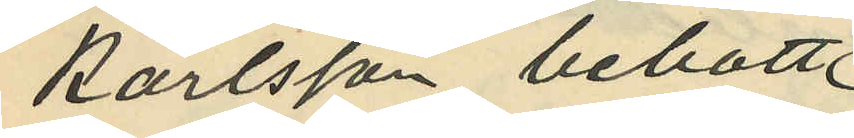Karlsson bebott
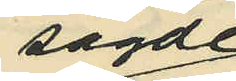sagde
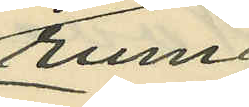rum
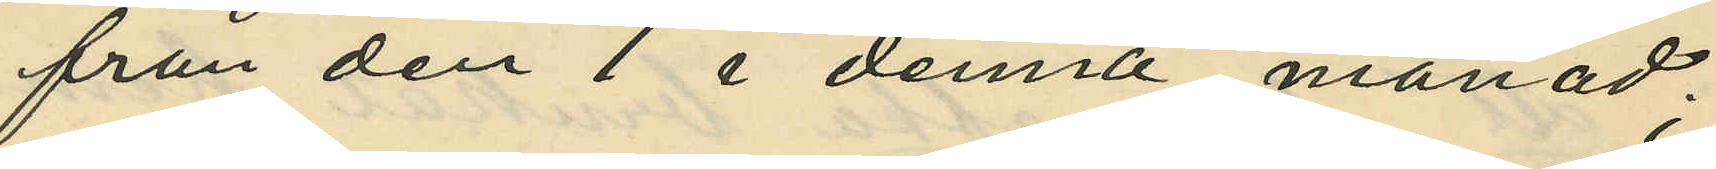från den 1 i denna månad;
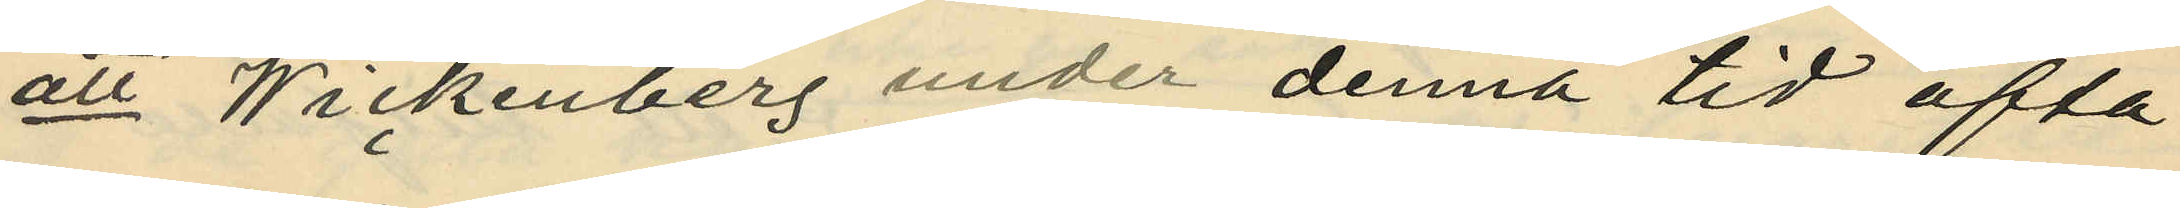att Wickenberg under denna tid ofta
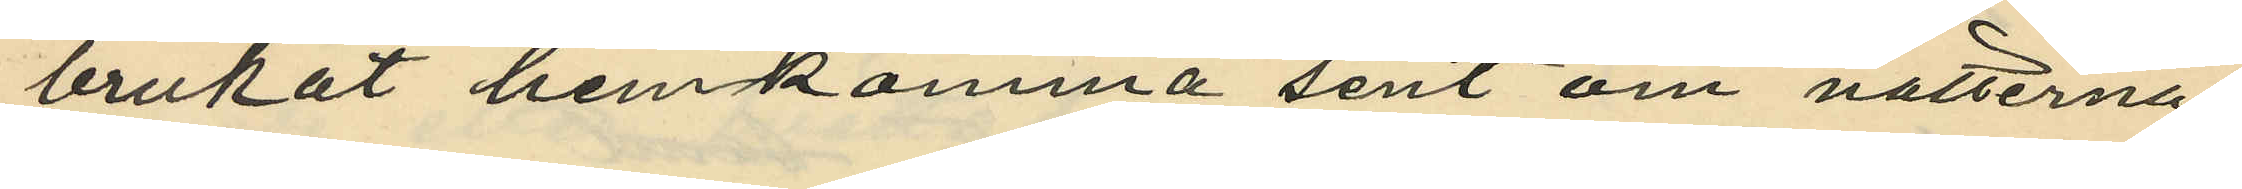brukat hemkomma sent om nätterna;
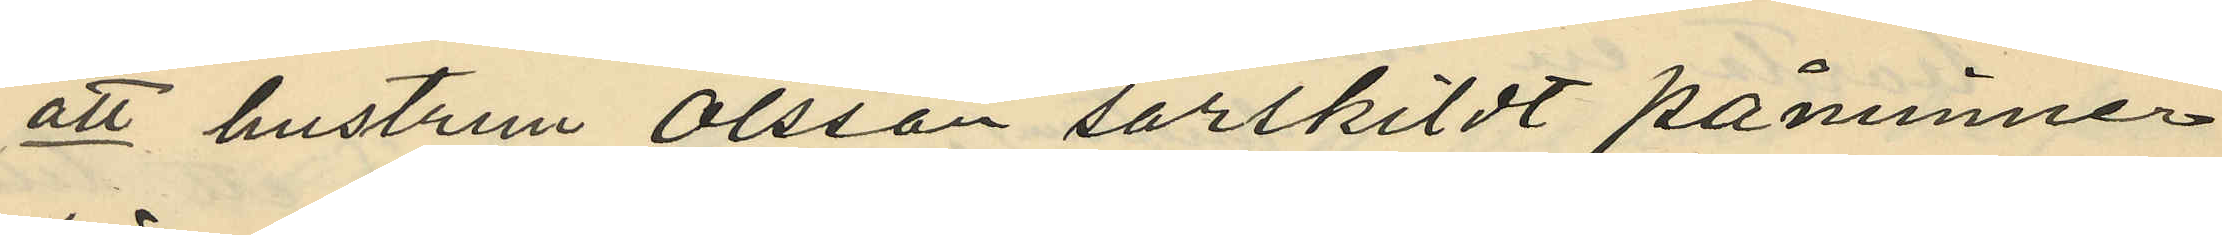att hustrun Olsson särskildt påminner
